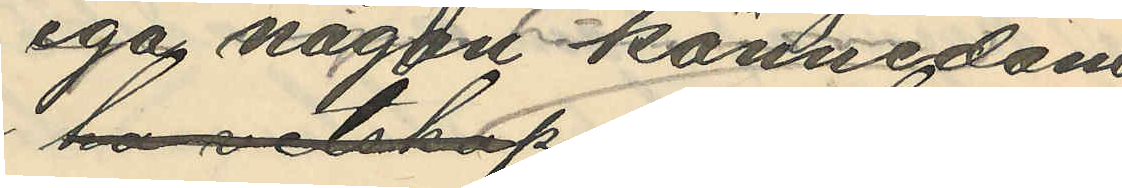ega någon kännedom
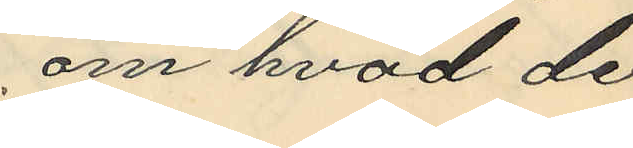om hvad de
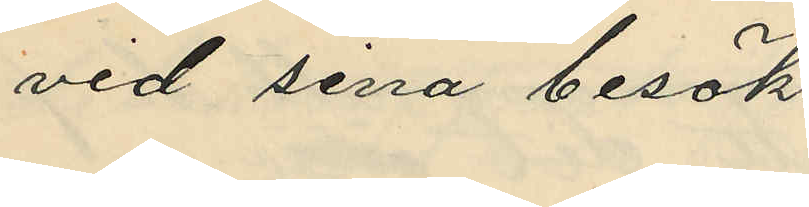vid sina besök
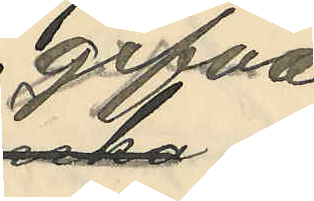gifva
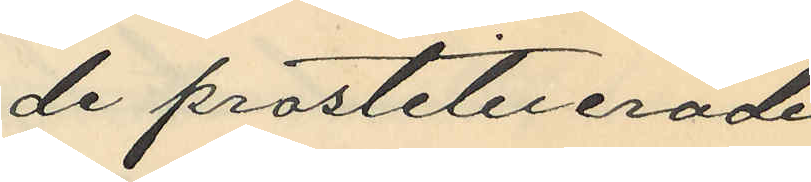de prostituerade
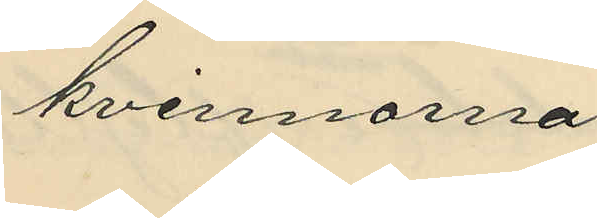kvinnorna.
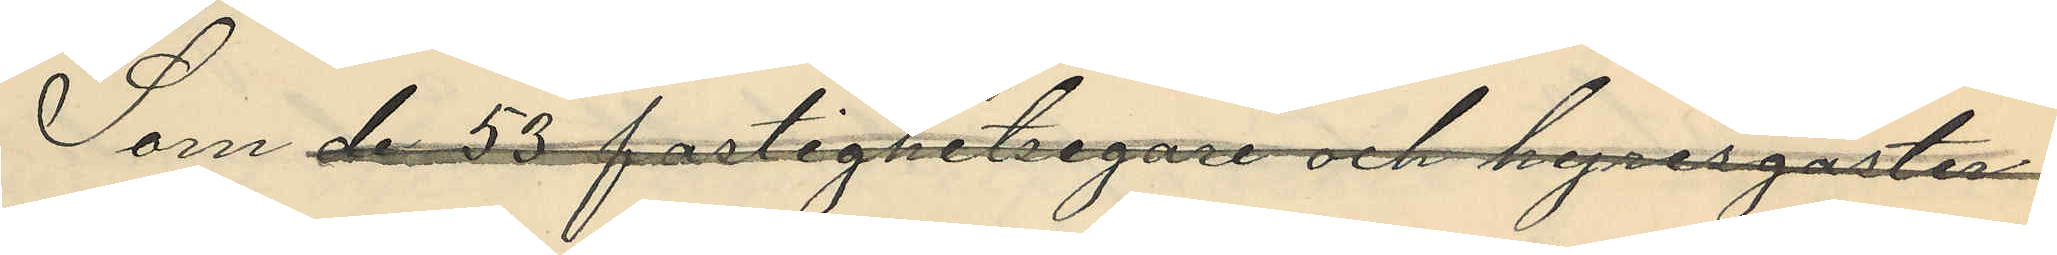Som de 53 fastighetsegarne och hyresgäster
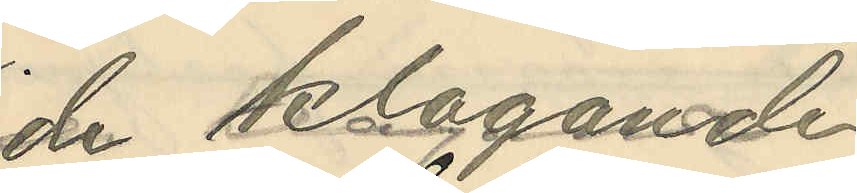de klagande
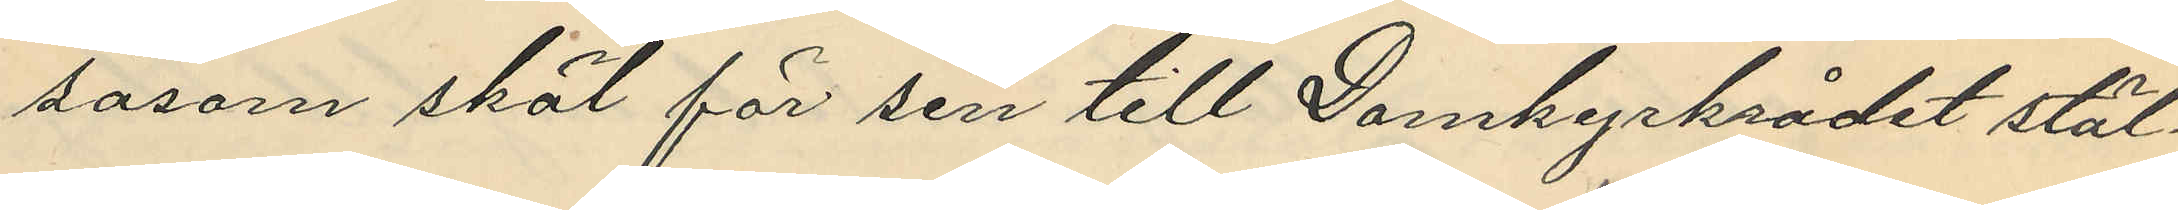såsom skäl för sin till Domkyrkorådet stäl¬
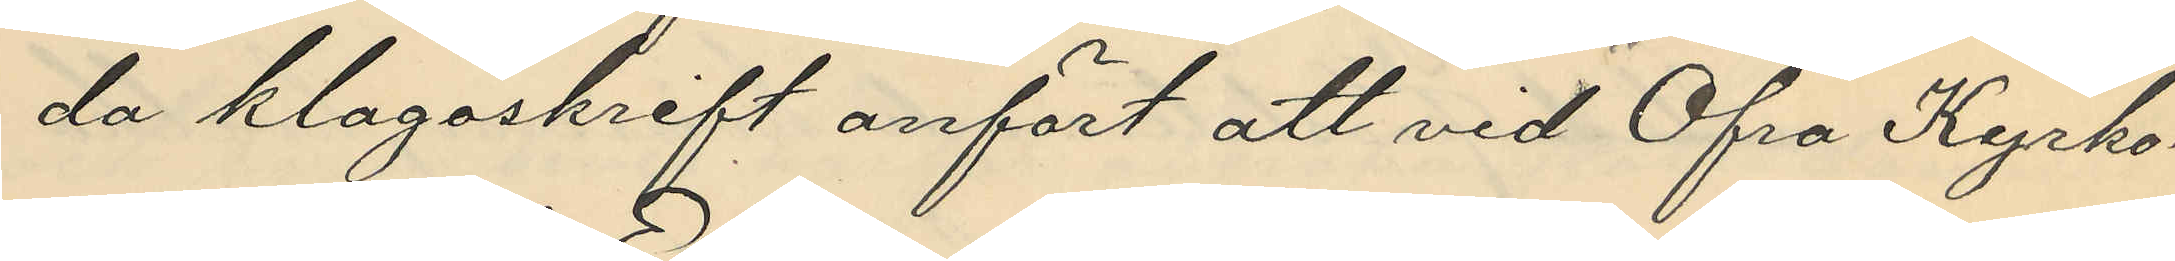da klagoskrift anfört att vid Öfra Kyrko¬
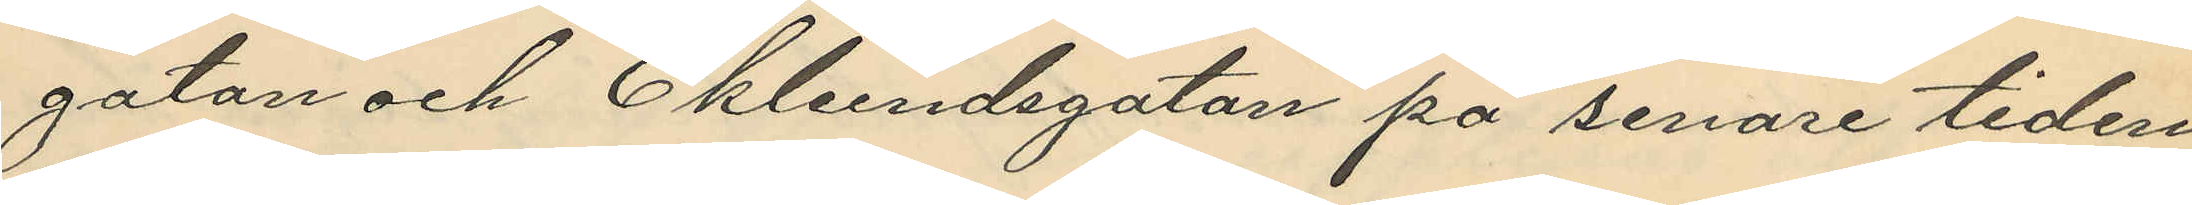gatan och Eklundsgatan på senare tiden
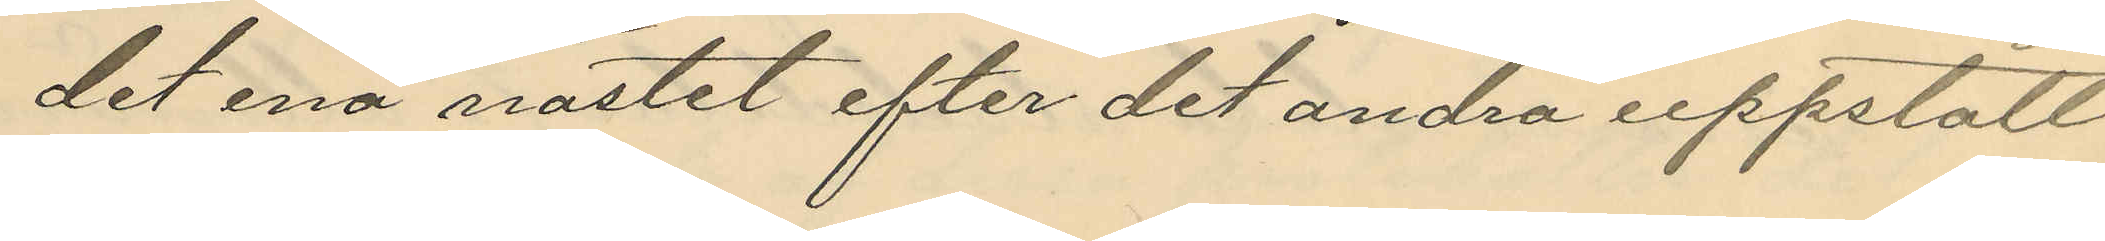det ena nästet efter det andra uppstått
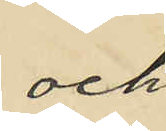och
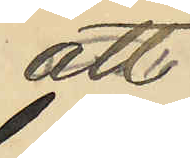att
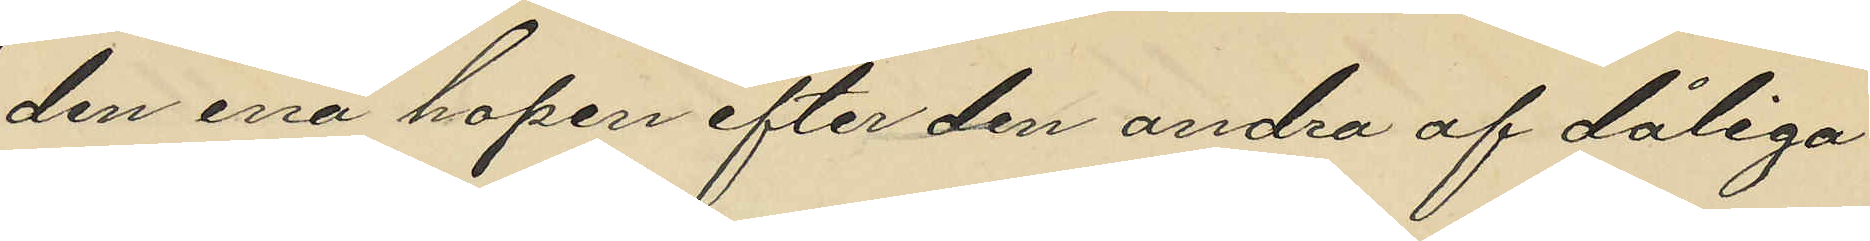den ena hopen efter den andra af dåliga
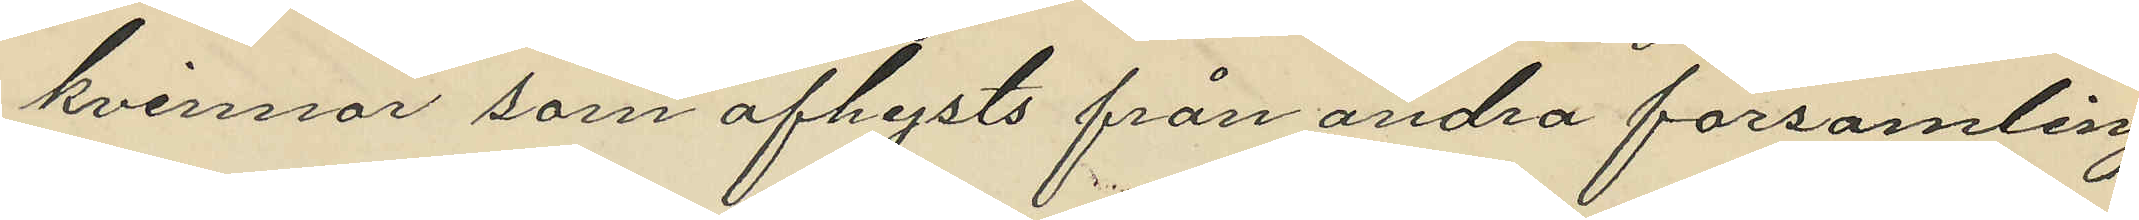kvinnor som afhysts från andra församlingar
